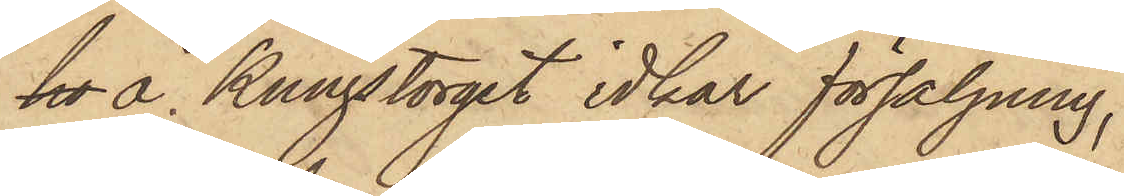ho å Kungstorget idkar försäljning,
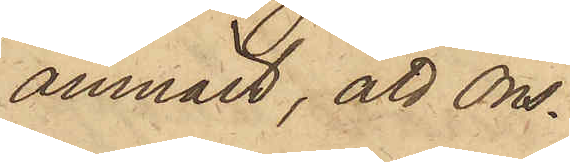anmält, att Ons¬
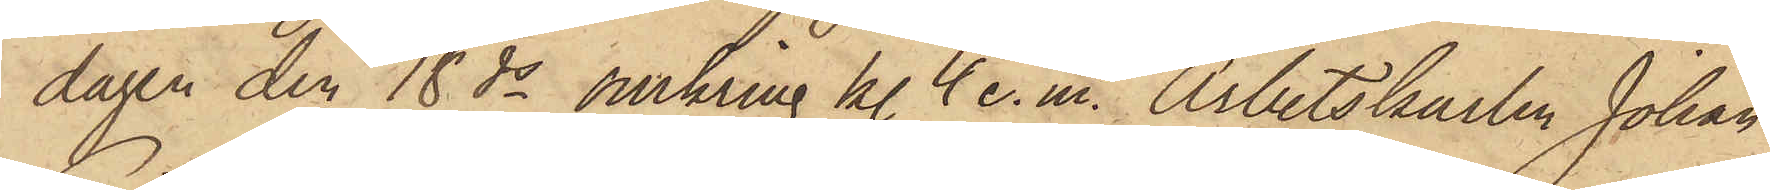dagen den 18 ds omkring kl. 4 e. m. Arbetskarlen Johan
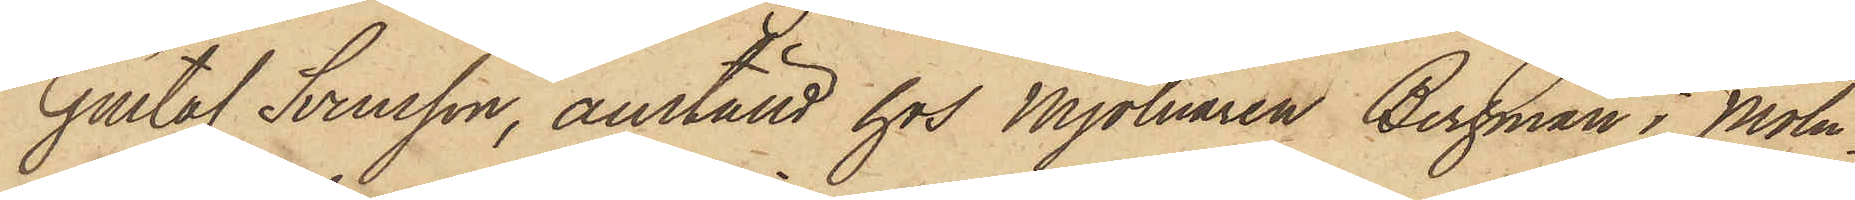Gustaf Svensson, anställd hos Mjölnaren Bergman i Möln¬
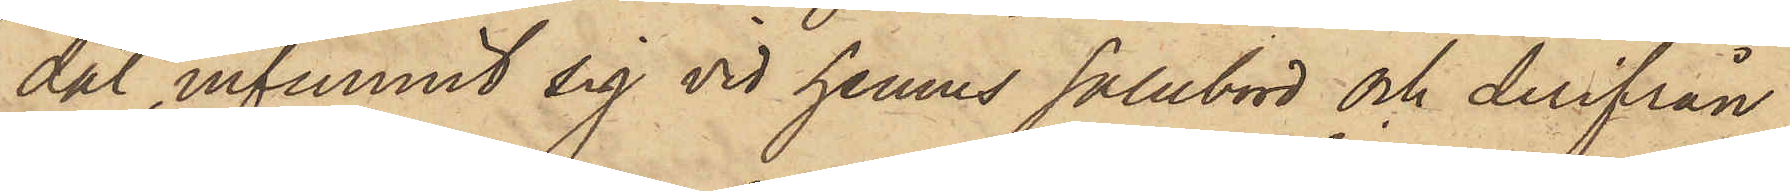dal, infunnit sig vid hennes salubord och derifrån
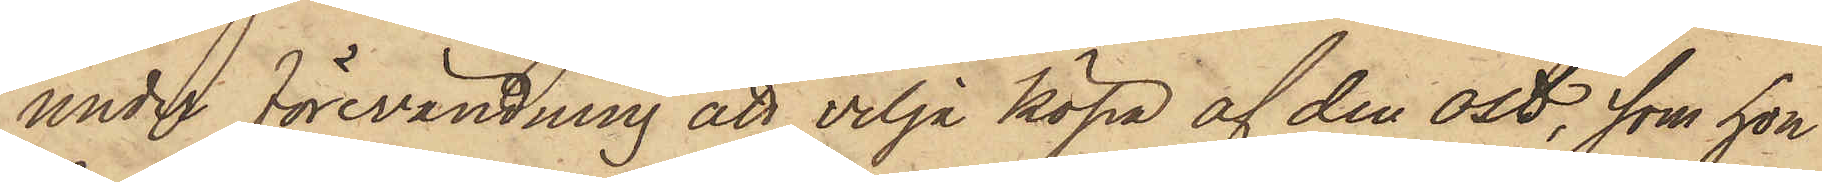under förevändning att vilja köpa af den ost, som hon
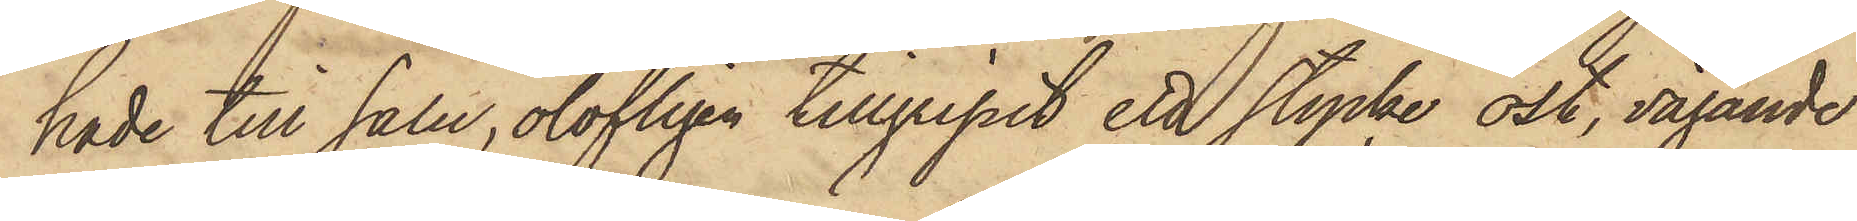hade till salu, olofligen tillgripit ett stycke ost, vägande
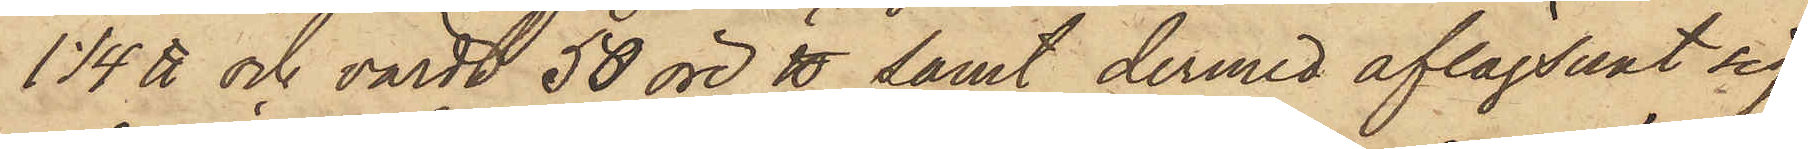1 1/4 ℔ och värdt 50 öre ℔ samt dermed aflägsnat sig,
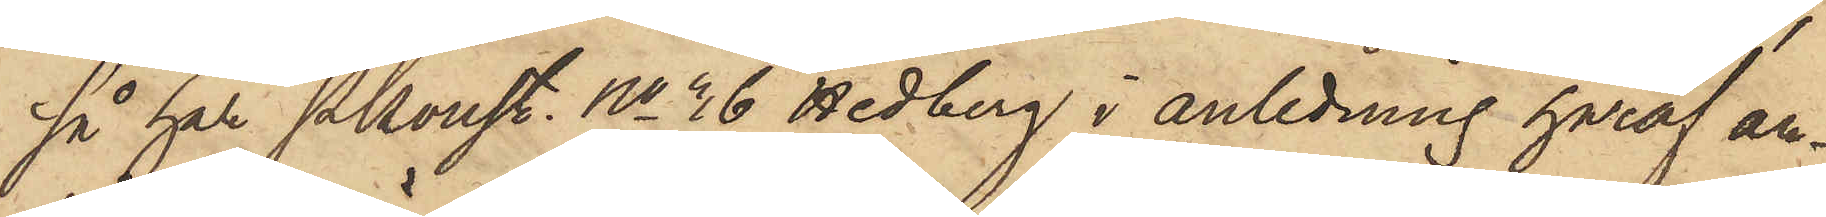så har Pkonst. No 36 Hedberg i anledning häraf an¬
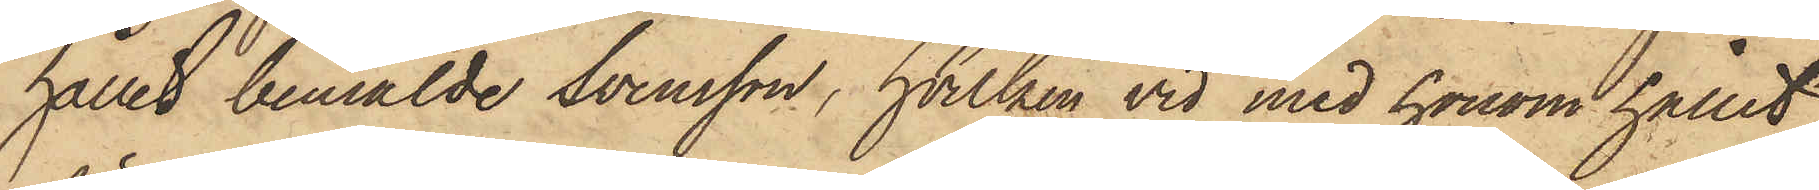hållit bemälde Svensson, hvilken vid med honom hållet
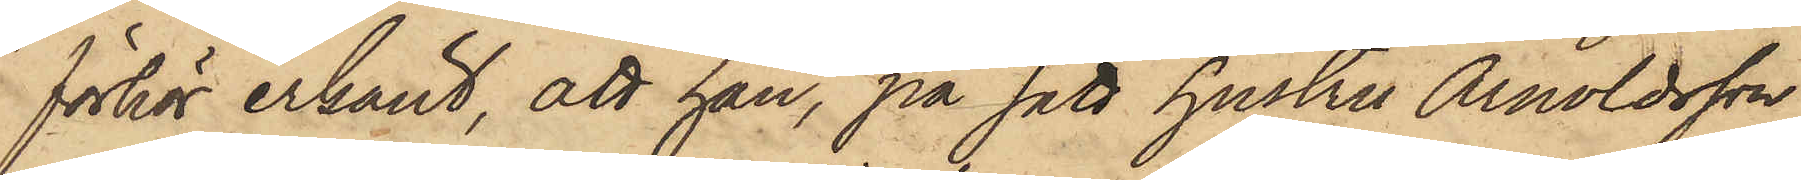förhör erkänt, att han, på sätt hustru Arnoldsson
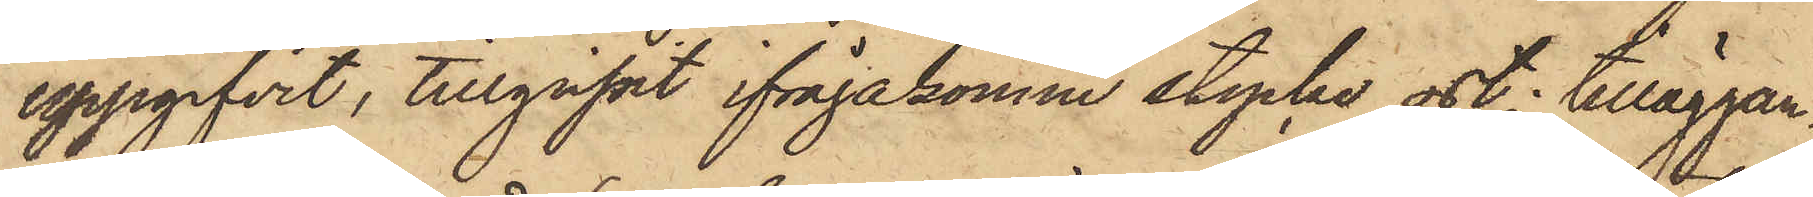uppgifvit, tillgripit ifrågakomne stycke ost; tilläggan¬
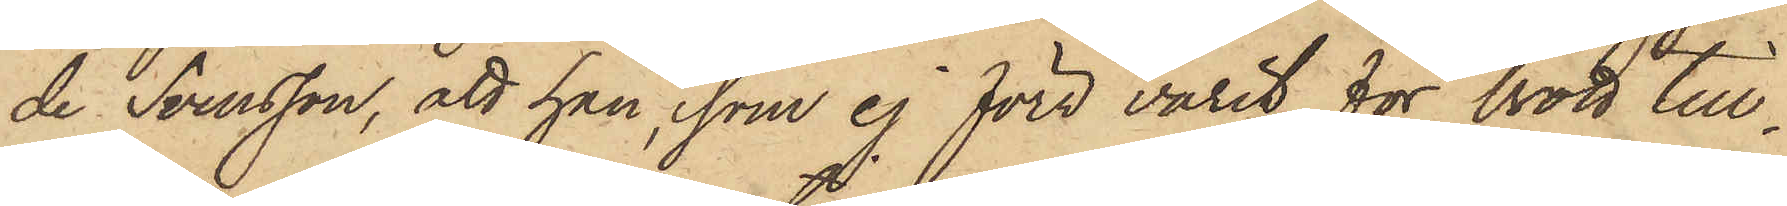de Svensson, att han, som ej förr varit för brott till¬
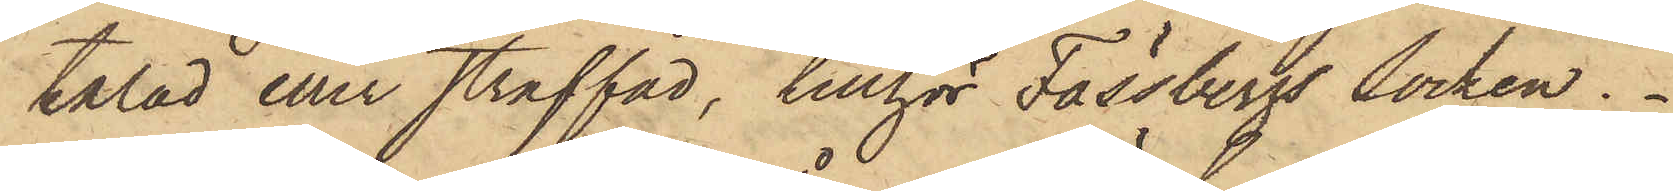talad eller straffad, tillhör Fässbergs Socken.
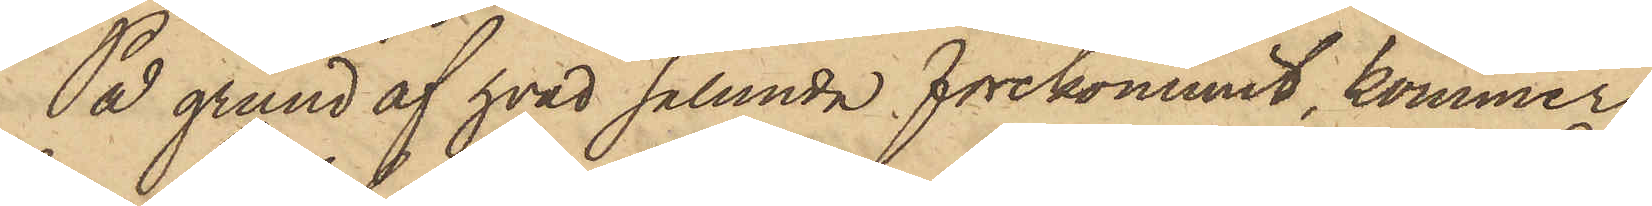På grund af hvad sålunda förekommit, kommer
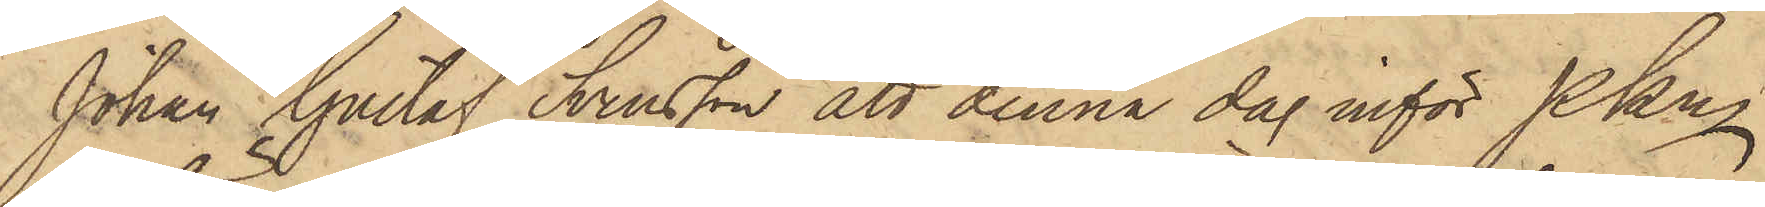Johan Gustaf Svensson att denna dag inför PKn
